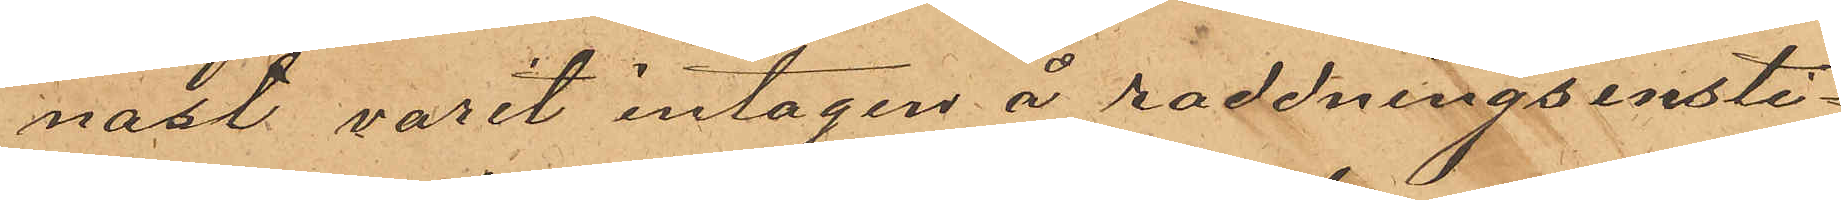nast varit intagen å räddningsinsti¬
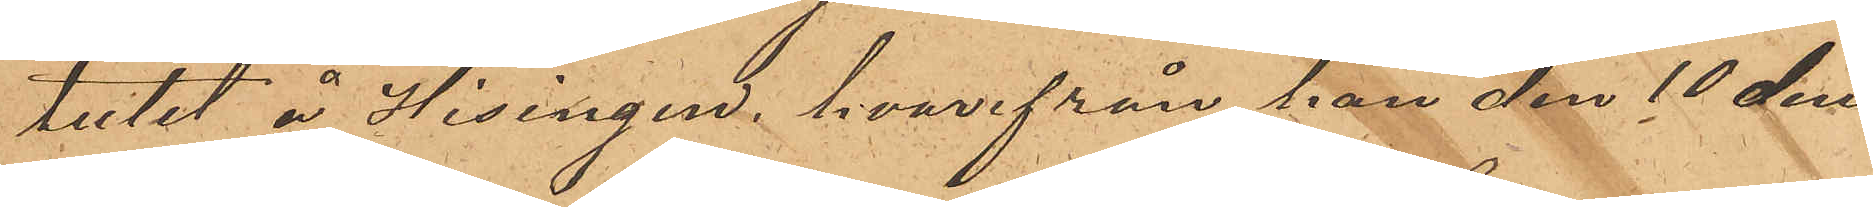tutet å Hisingen, hvarifrån han den 10 den¬
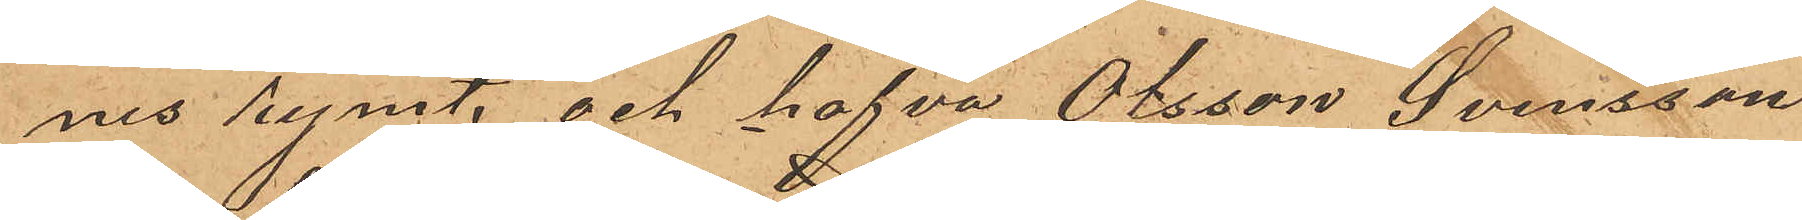nes rymt, och hafva Olsson Svensson
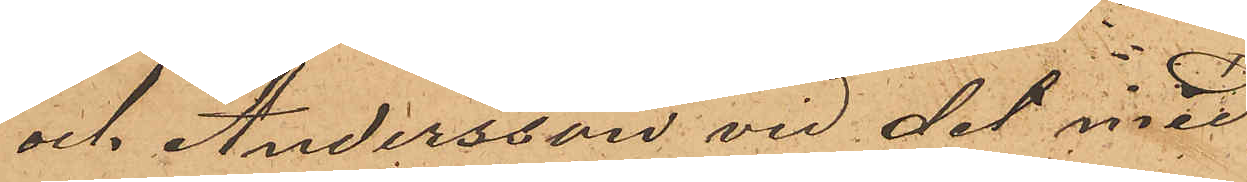och Andersson vid det med
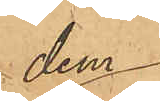dem
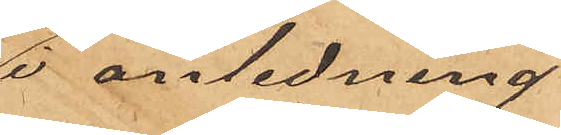i anledning
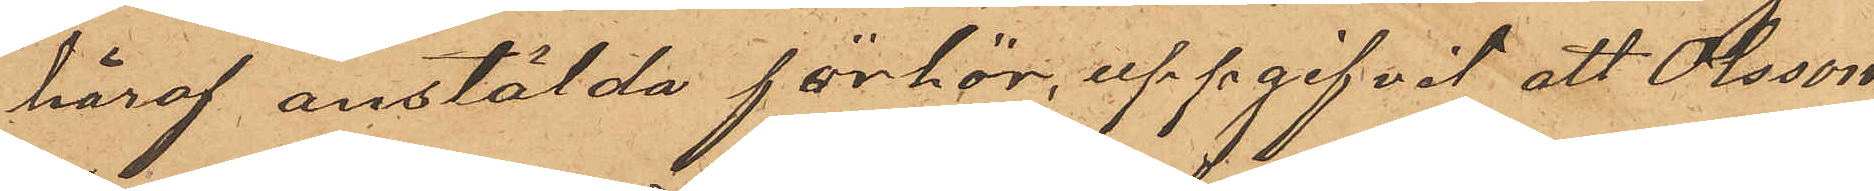häraf anstälda förhör, uppgifvit, att Olsson
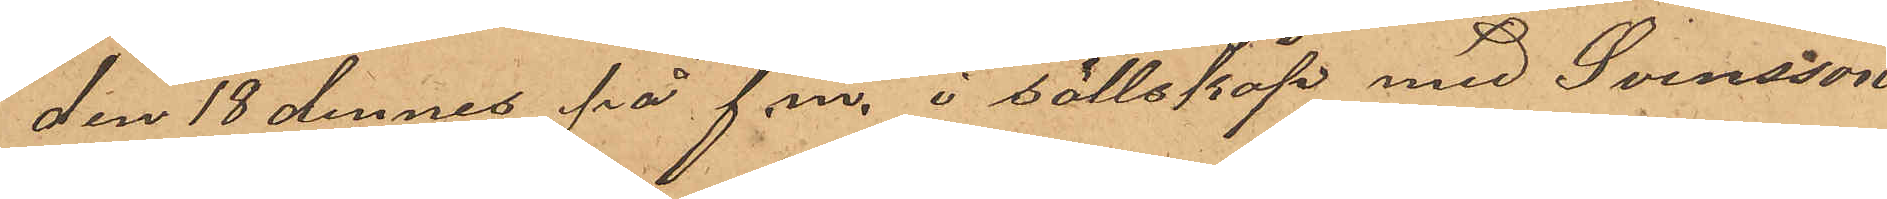den 18 dennes på f. m. i sällskap med Svensson
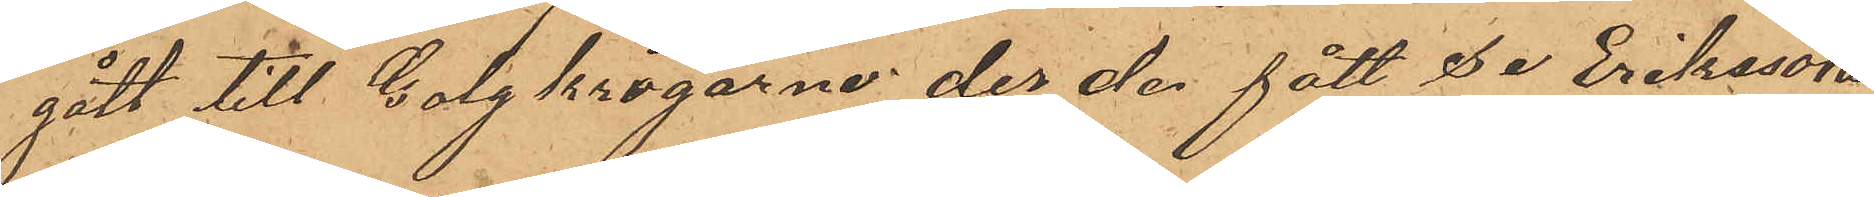gått till Galgkrogarne der den fått se Erikssons
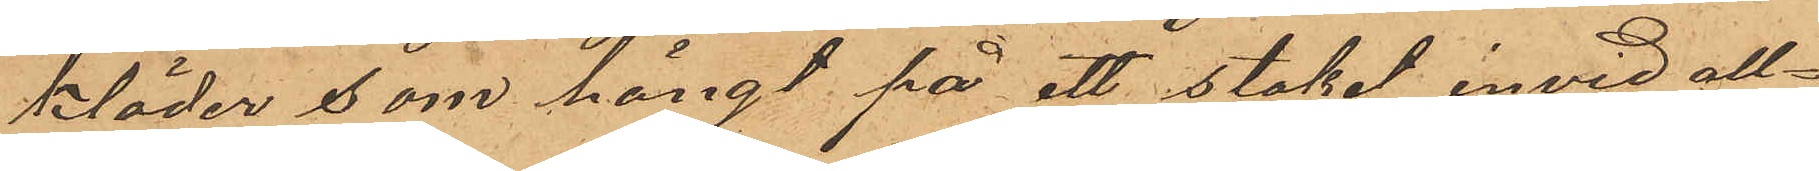kläder, som hängt på ett staket invid all¬
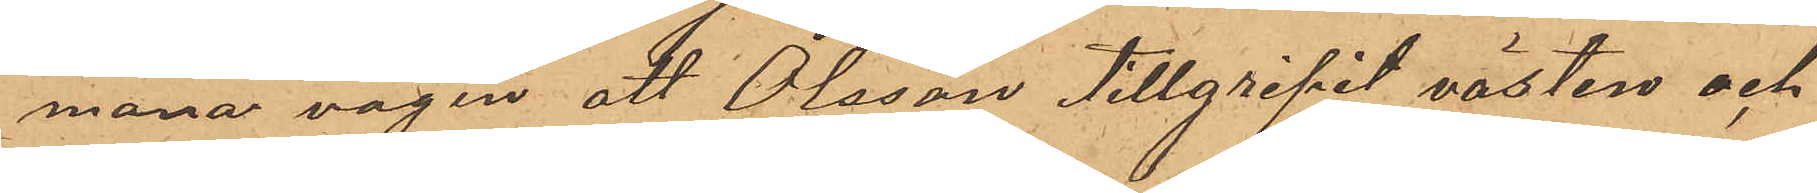mana vägen att Olsson tillgripit västen och
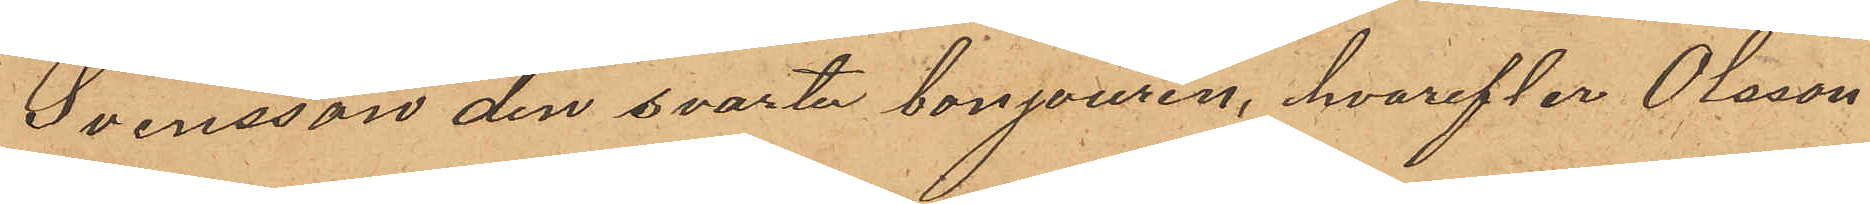Svensson den svarta bonjouren, hvarefter Olsson
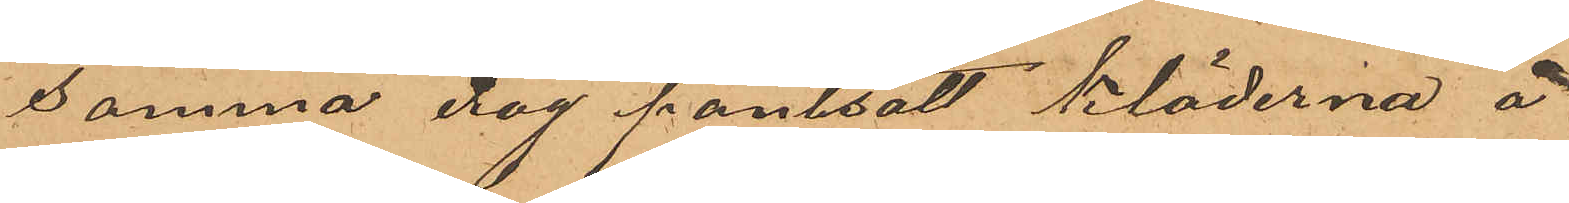samma dag pantsatt kläderna å
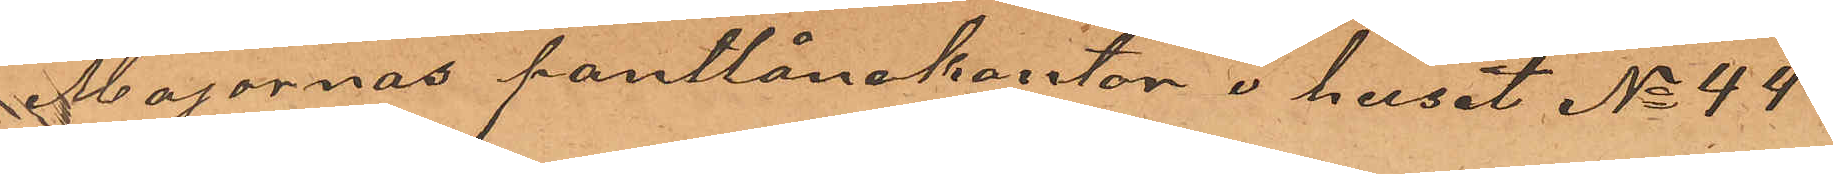Majornas pantlånekontor i huset No 44
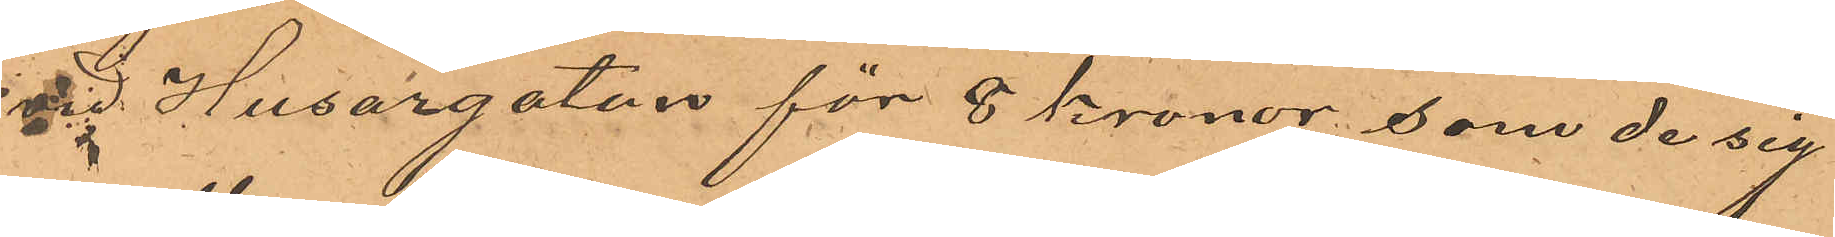vid Husargatan för 8 kronor, som de sig
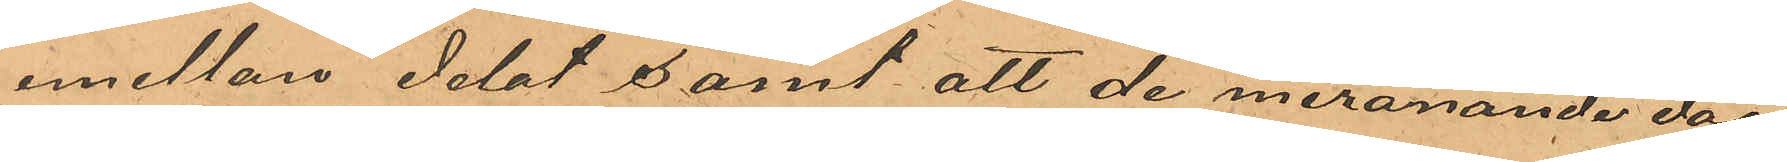emellan delat samt att de meranande dag
